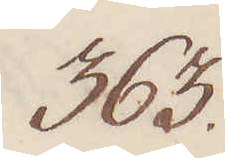363.
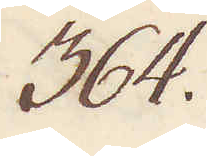364.
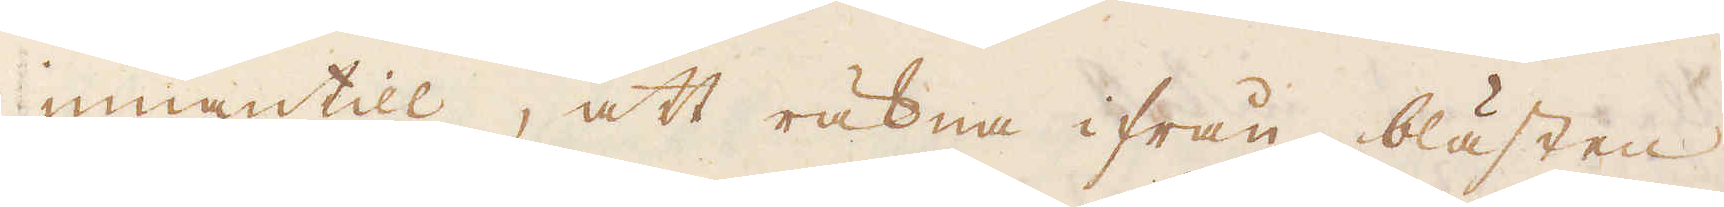innantill, att räkna ifrån blästen
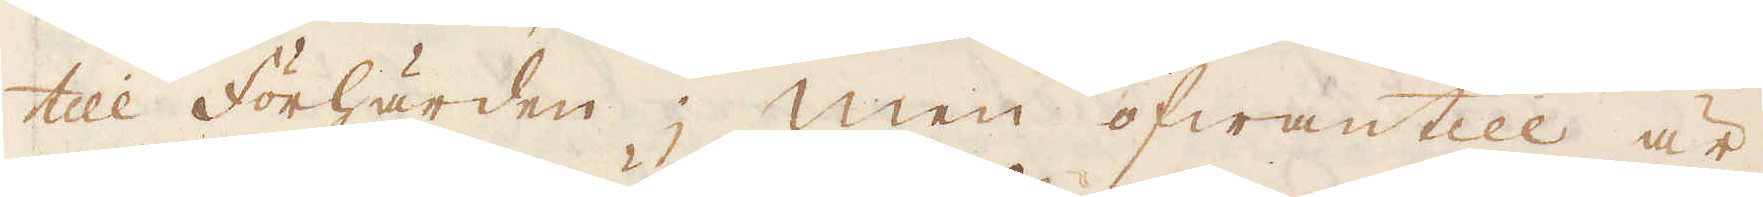till Förhärden; men ofwantill är
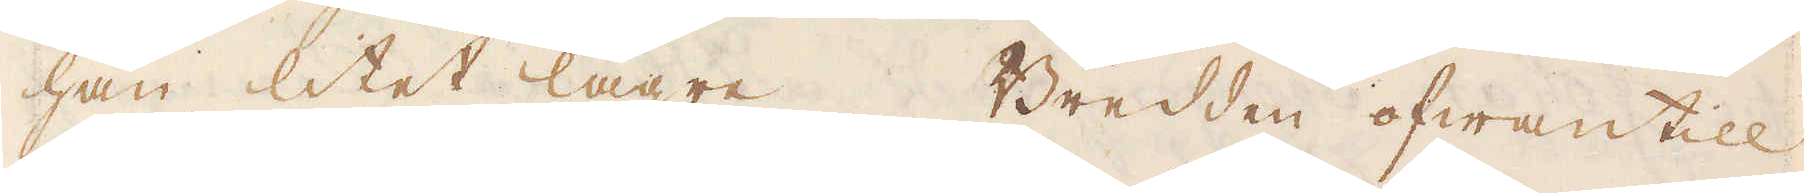han litet lägre. Bredden ofwantill
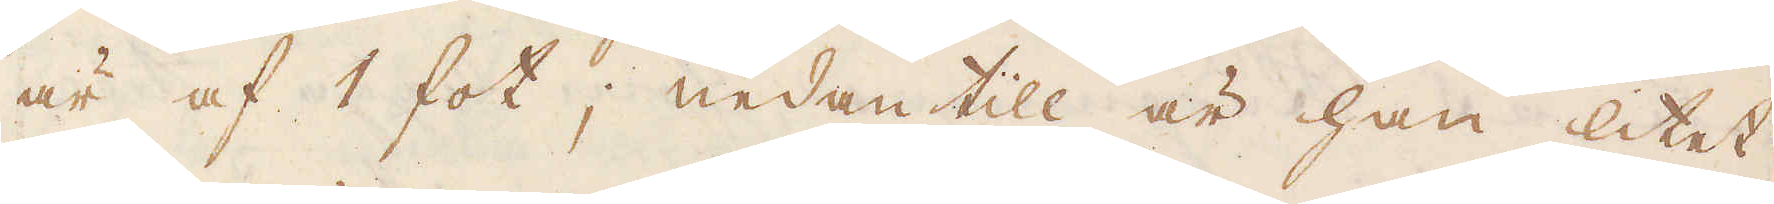är af 1 fot; nedantill är han litet
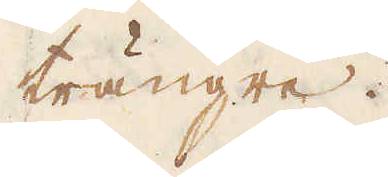trängre.
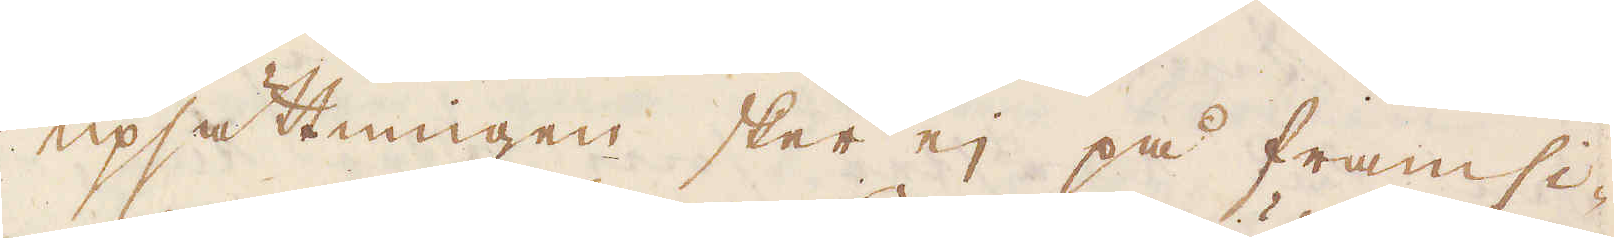Upsättningen sker ej på framsi-
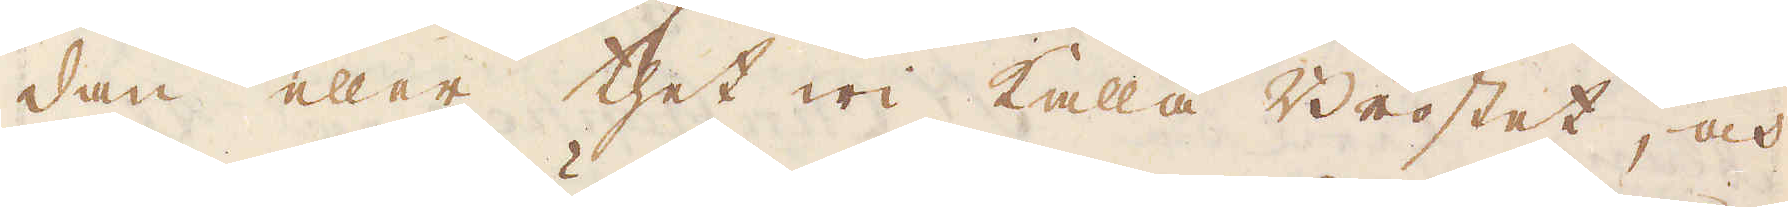dan eller thet wi kalla Bröstet, och
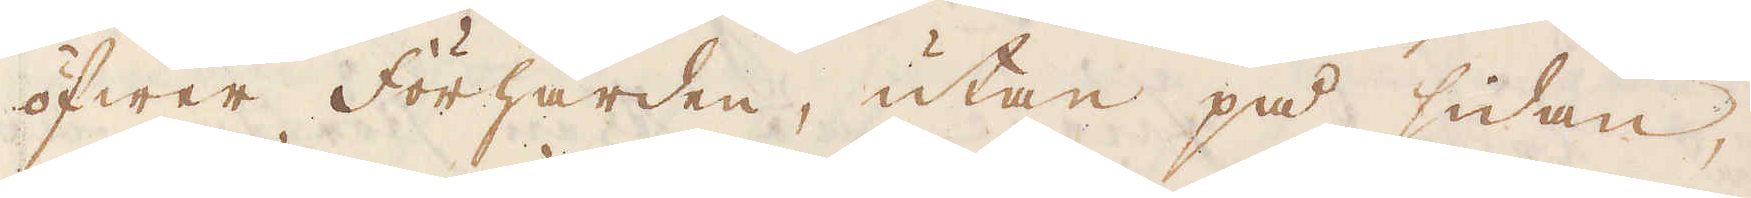öfwer Förhärden, utan på sidan,
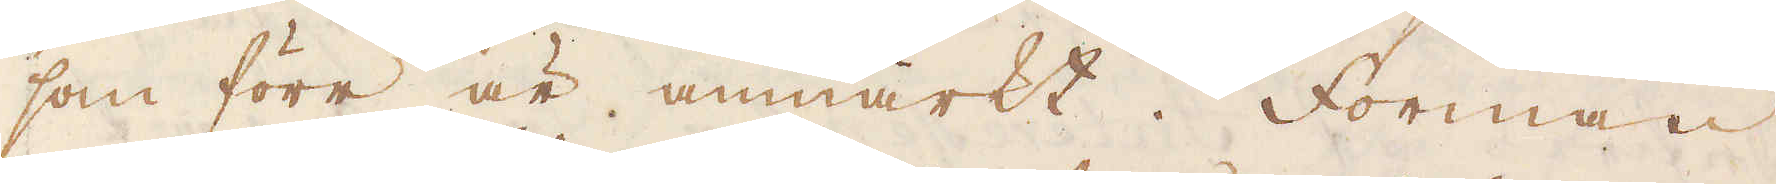som förr är anmärkt. Forman
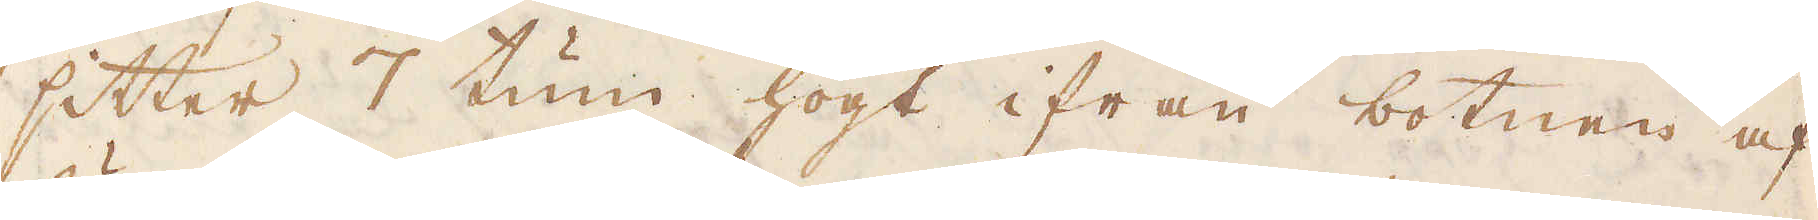sitter 7 tum högt ifrån botnen af
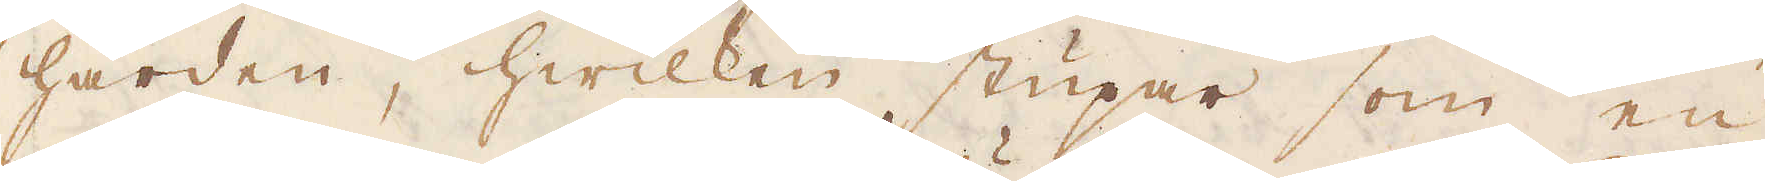härden, hwilken stupar som en
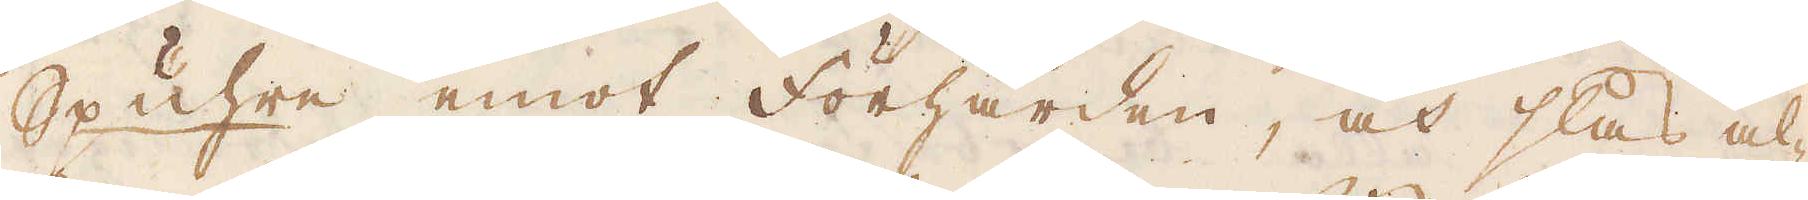Spuhre emot Förhärden, och slås al-
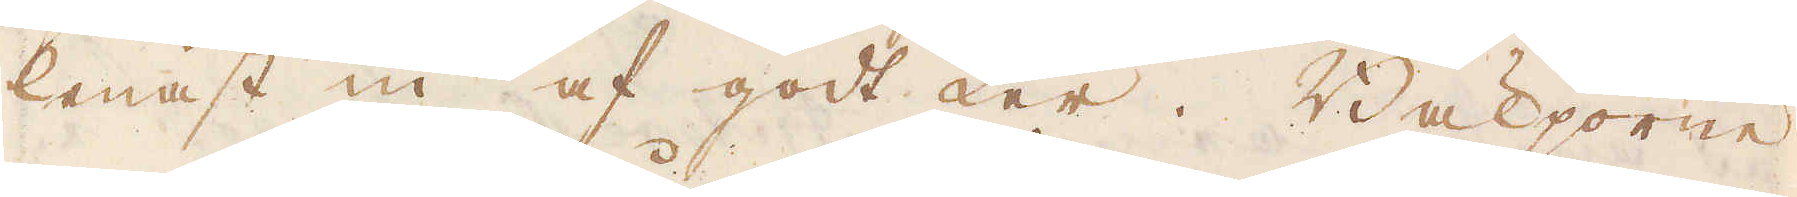lenast in af godt Ler. Bäljorne
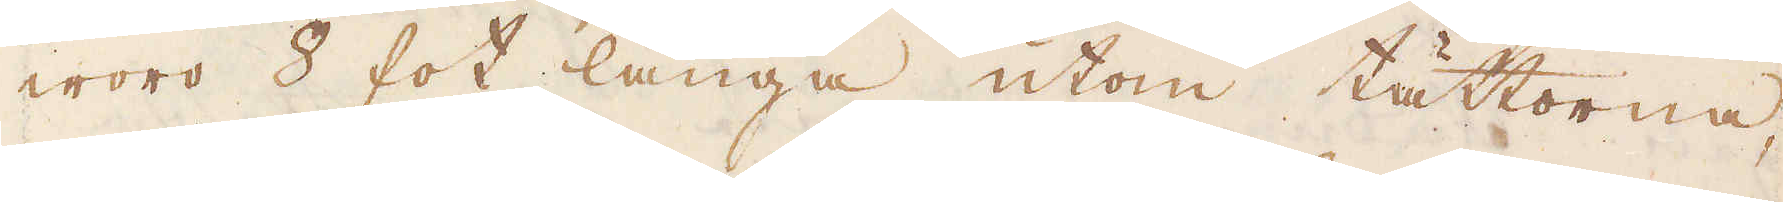woro 8 fot långa utom tättorna,
